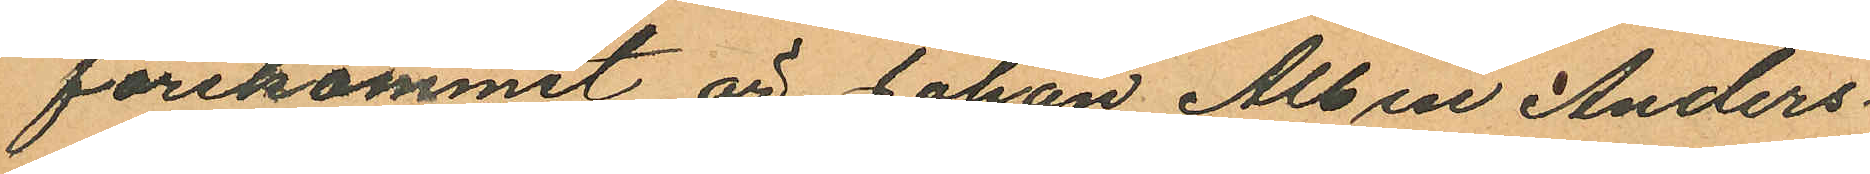förekommit är Johan Albin Anders¬
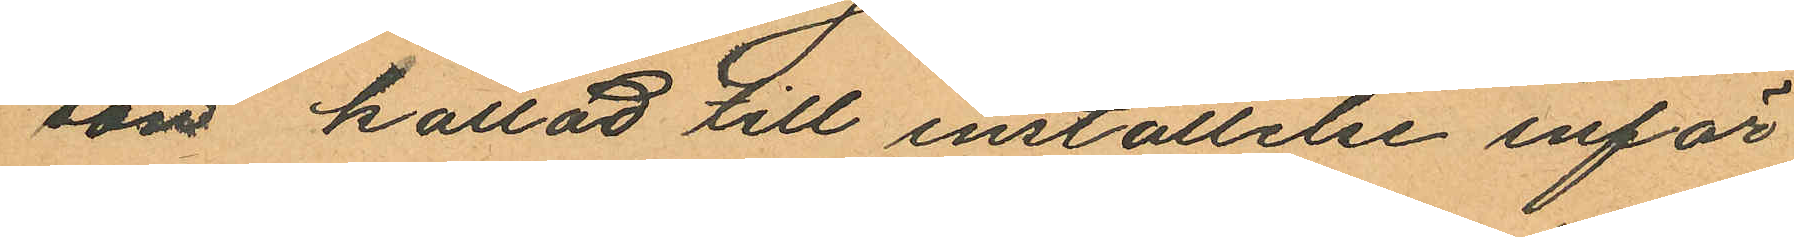som kallad till inställelse inför
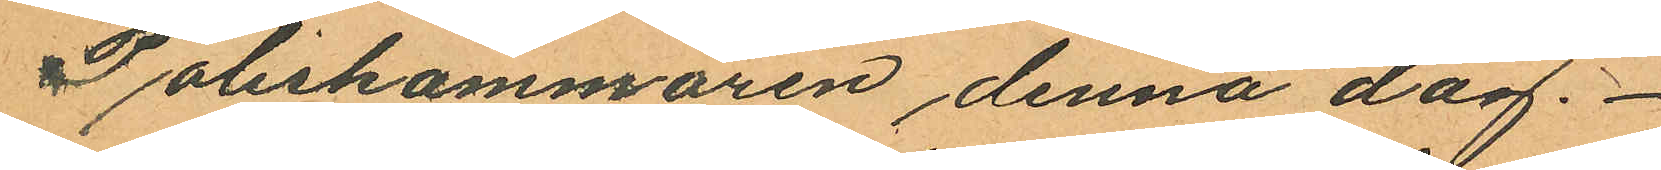Poliskammaren denna dag.
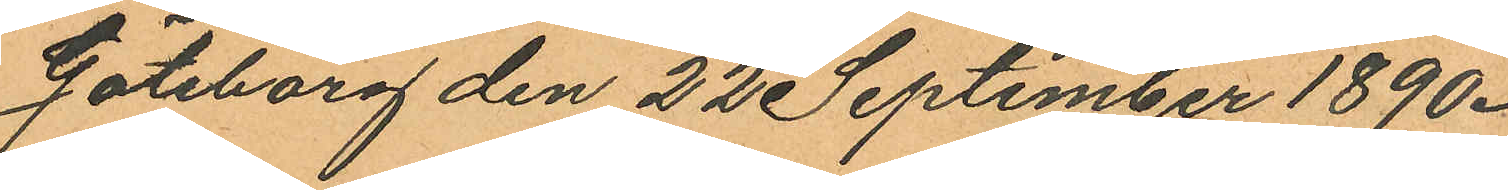Göteborg den 22 September 1890.
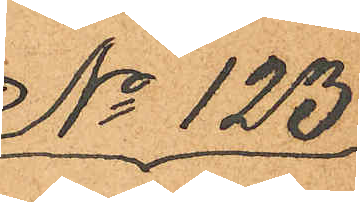No 123.
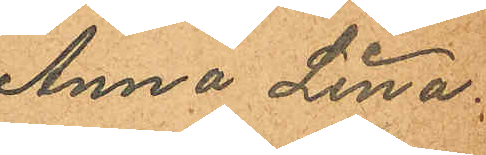Anna Lina
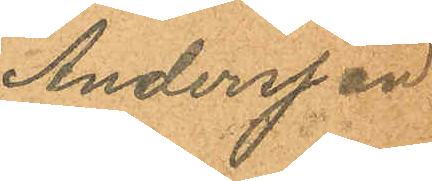Andersson.
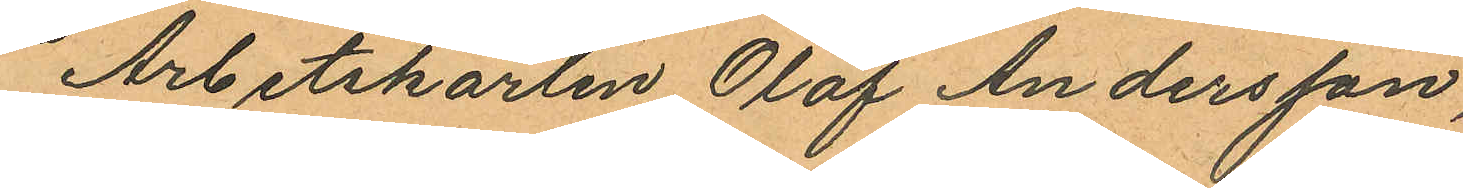Arbetskarlen Olof Andersson,
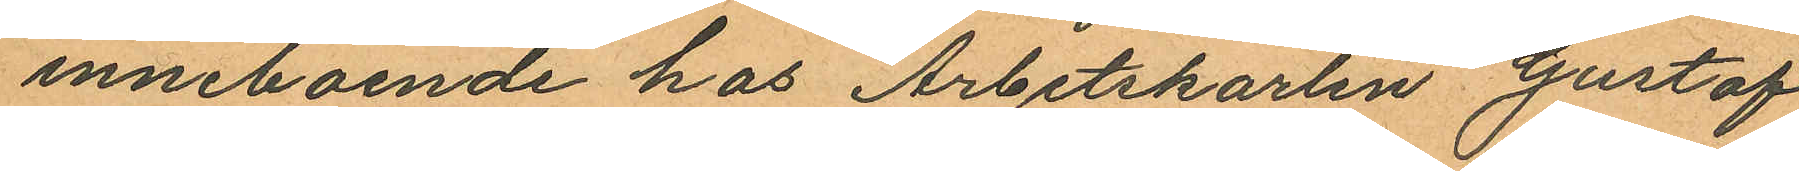inneboende hos Arbetskarlen Gustaf
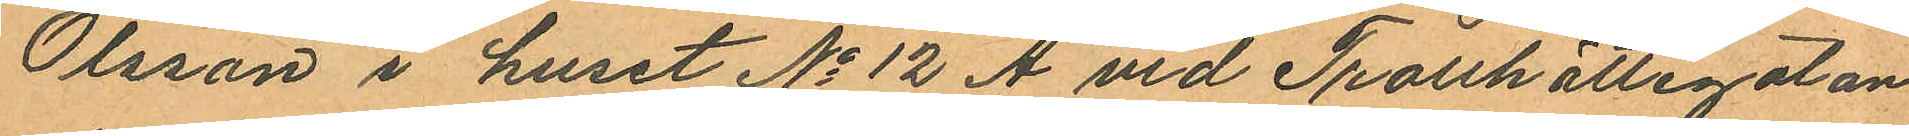Olsson i huset No 12 A vid Trotthättegatan
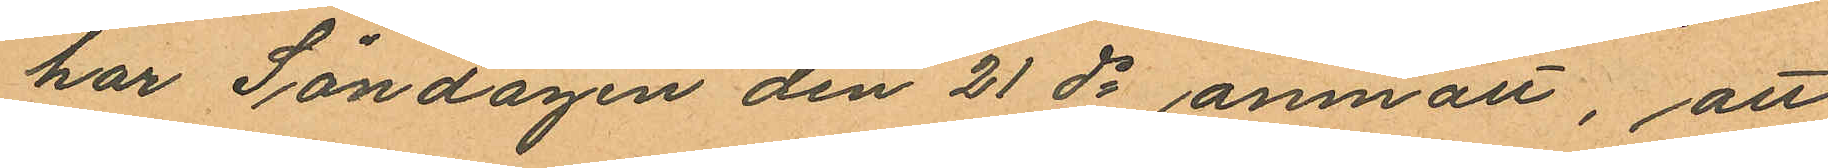har Söndagen den 21 ds anmält, att
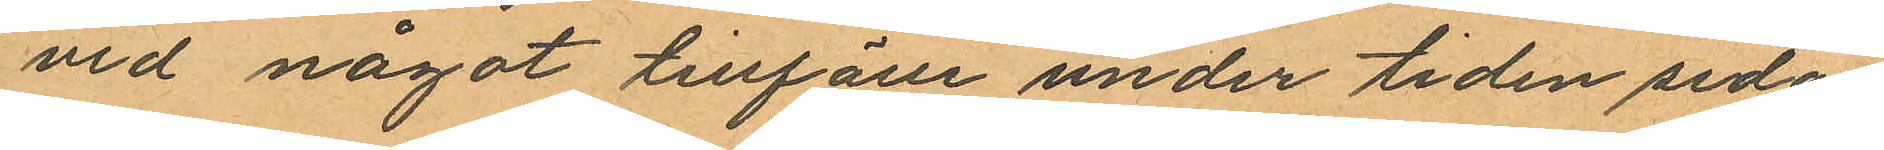vid något tillfälle under tiden sedan
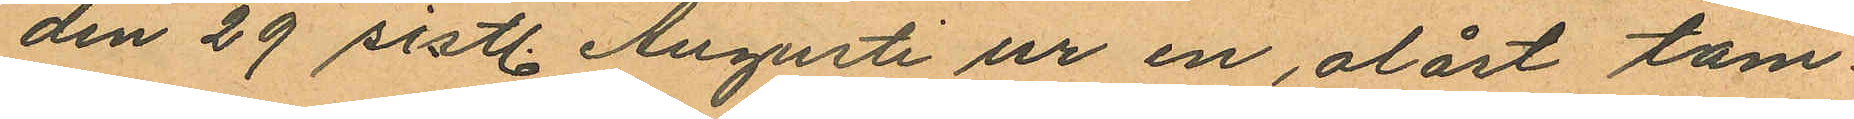den 29 sistl. Augusti ur en, olåst tam¬
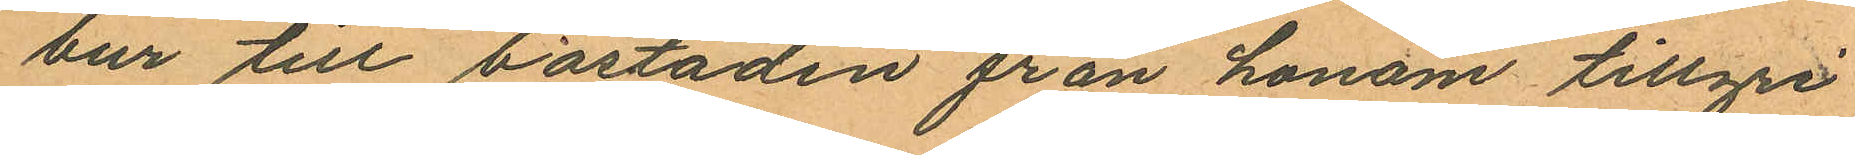bur till bostaden från honom tillgri¬
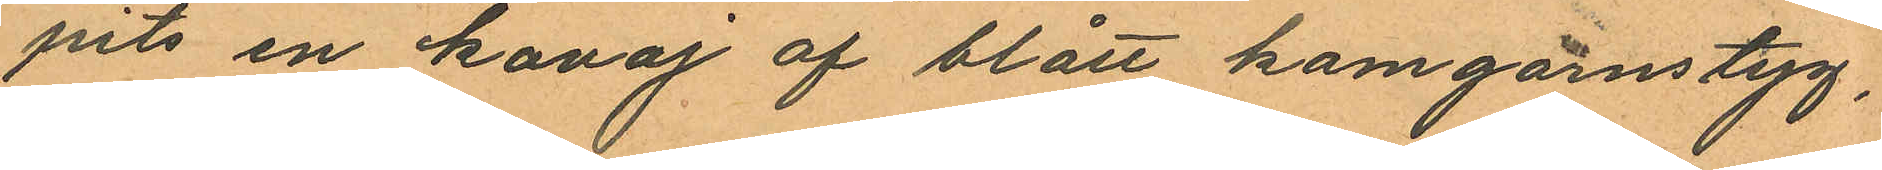pits en kavaj af blått kamgarnstyg,
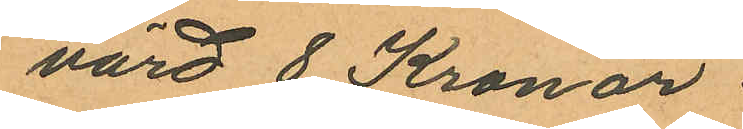värd 8 Kronor
